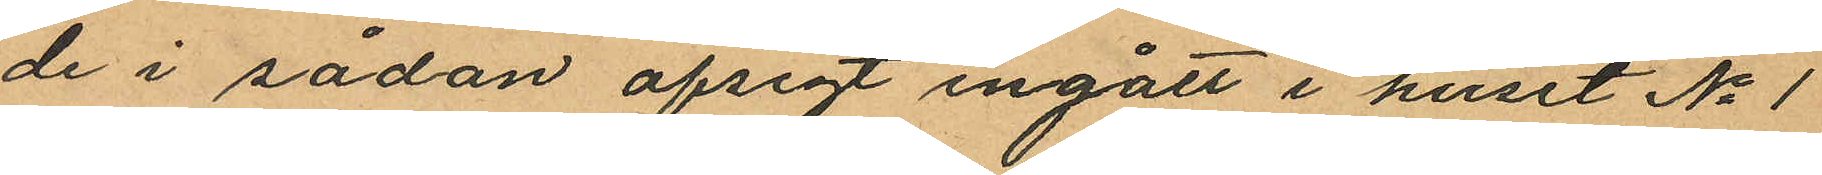de i sådan afsigt ingått i huset No 1
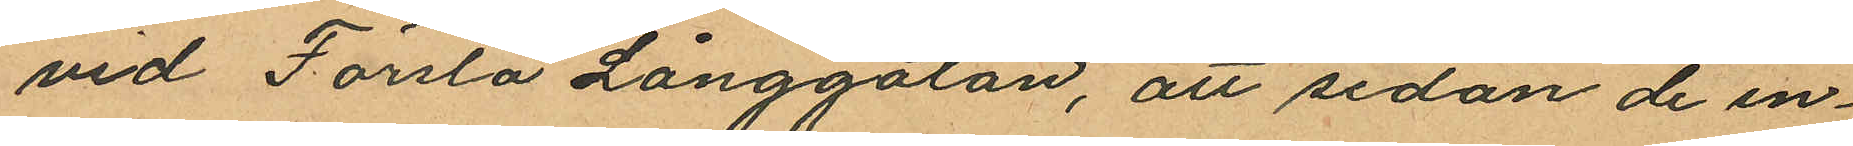vid Första Långgatan, att sedan de in¬
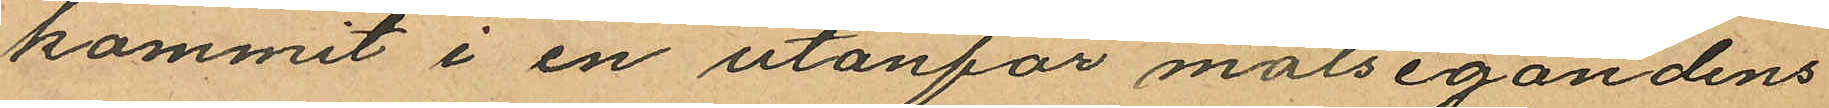kommit i en utanför målsegandens
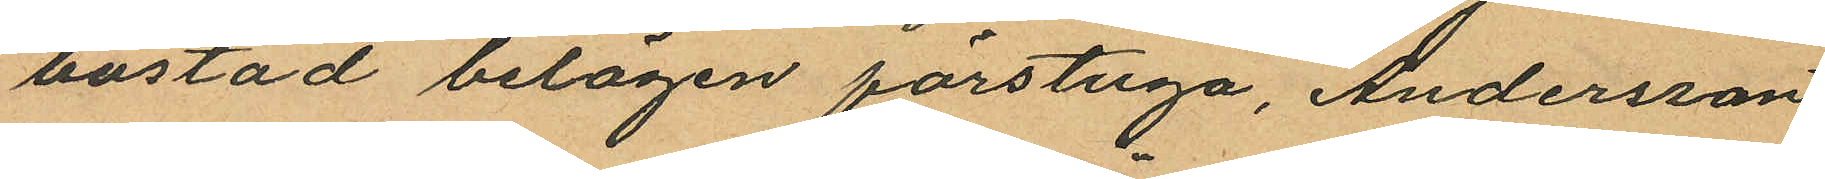bostad belägen förstuga, Andersson
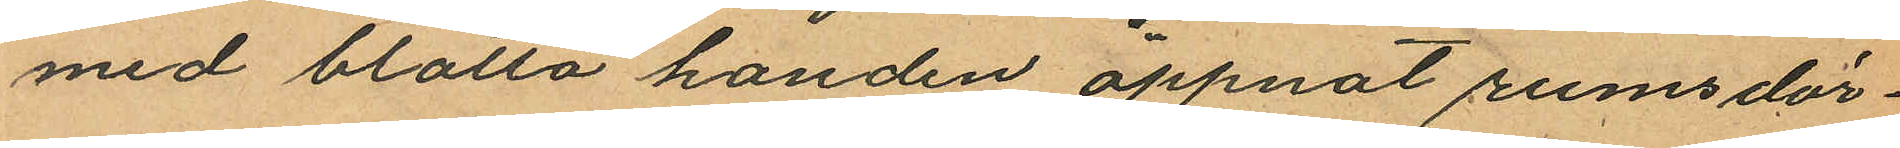med blotta handen öppnat rumsdör¬
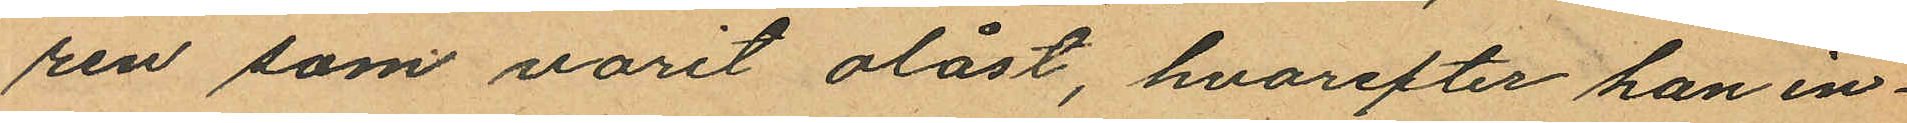ren som varit olåst, hvarefter han in¬
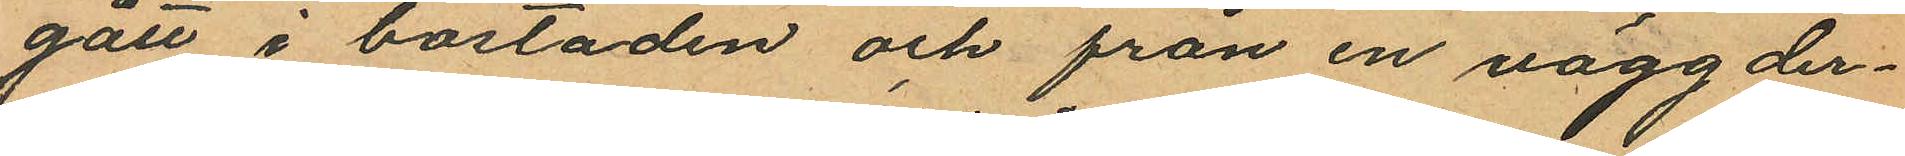gått i bostaden och från en vägg der¬
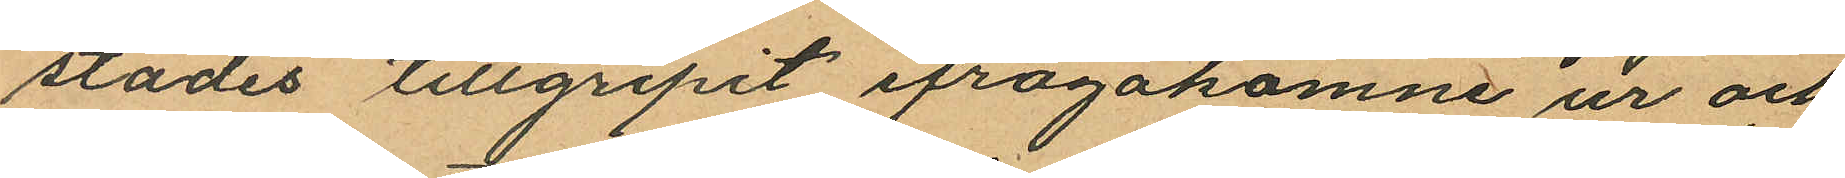städes tillgripit ifrågakomne ur och
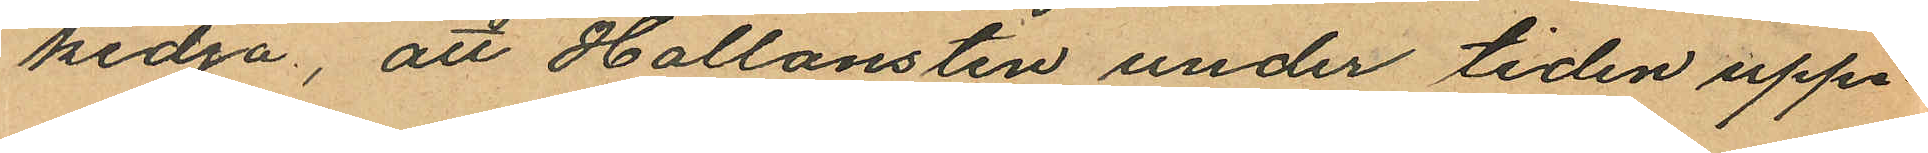kedja, att Hallonsten under tiden uppe¬
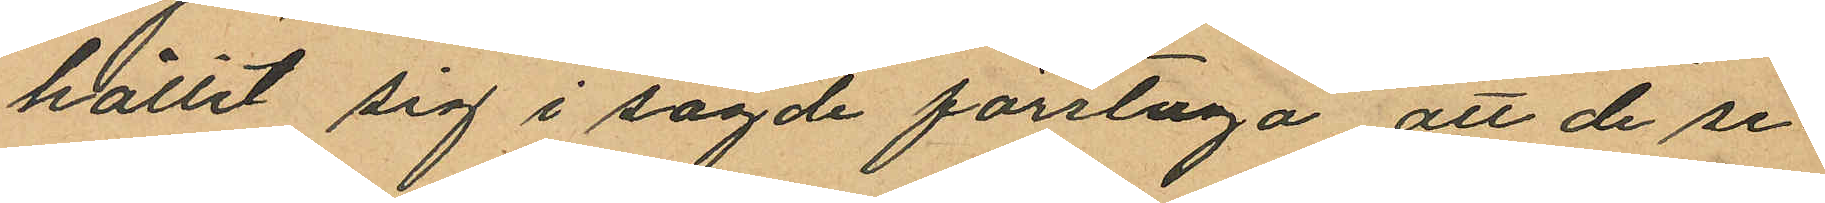hållit sig i sagde förstuga, att de se¬
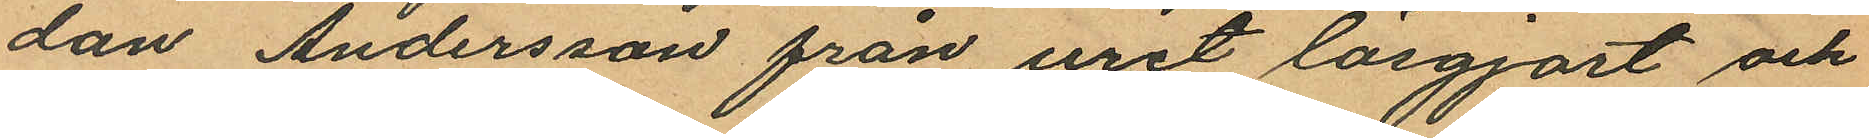dan Andersson från uret lösgjort och
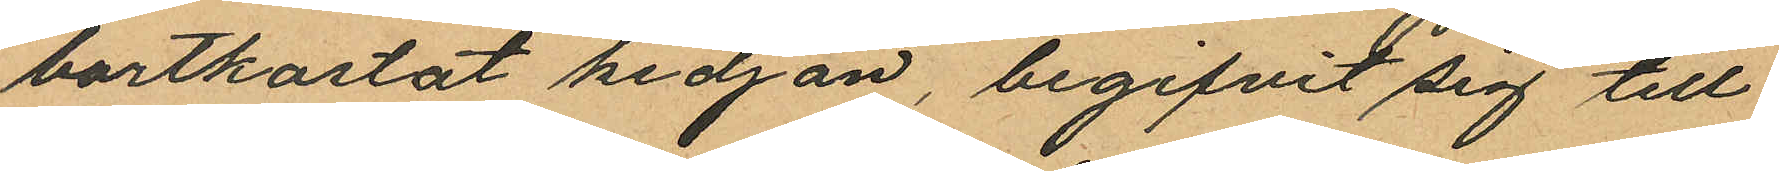bortkastat kedjan, begifvit sig till
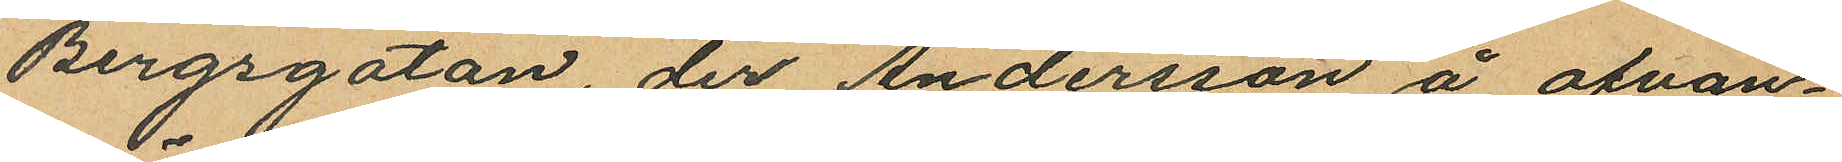Bergsgatan, der Andersson å ofvan¬
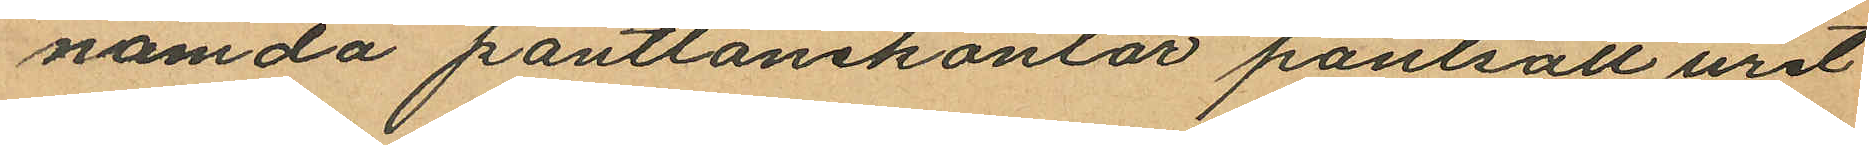nämda pantlånekontor pantsatt uret
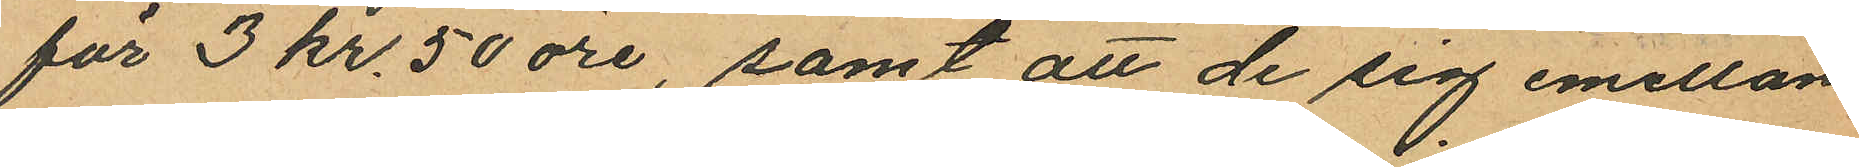för 3 kr. 50 öre, samt att de sig emellan
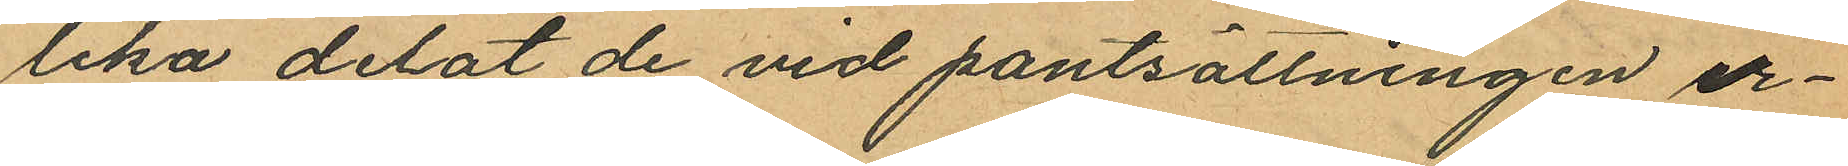lika delat de vid pantsättningen er¬
